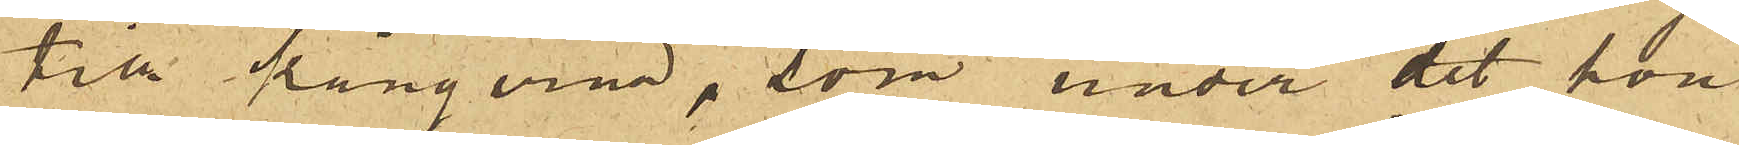till kängerna, som under det hon
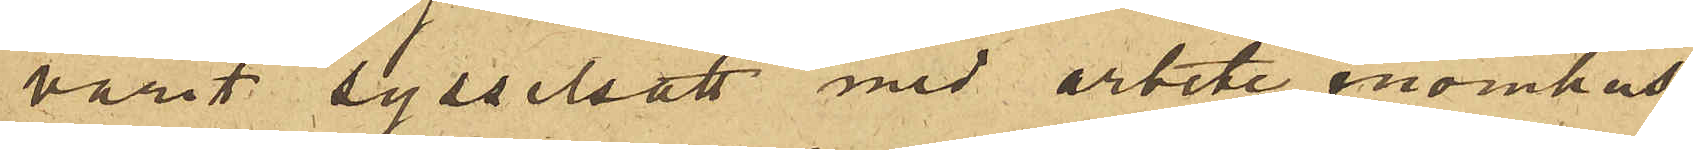varit sysselsatt med arbete inomhus
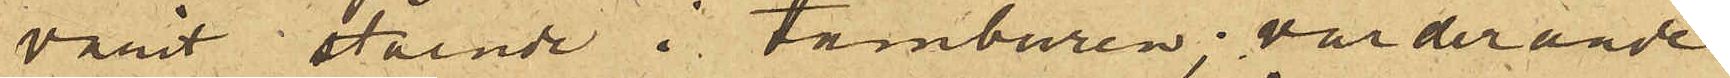varit stående i tamburen; värderande
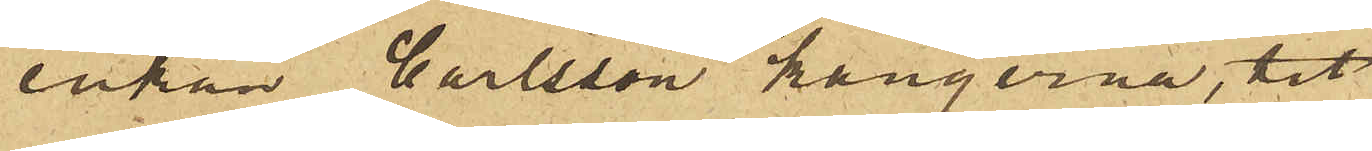enkan Carlsson kängerna, tit
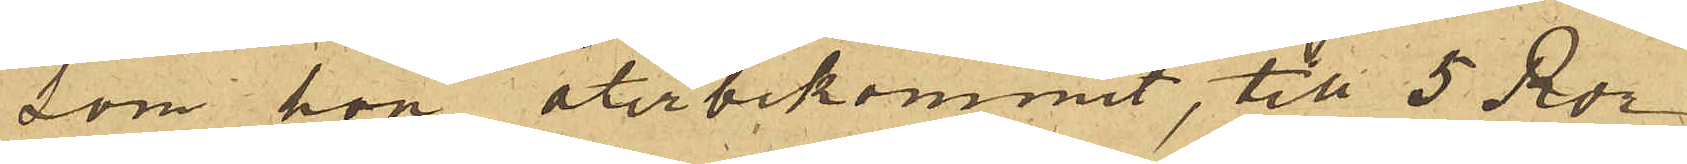som hon återbekommit, till 5 Rdr.
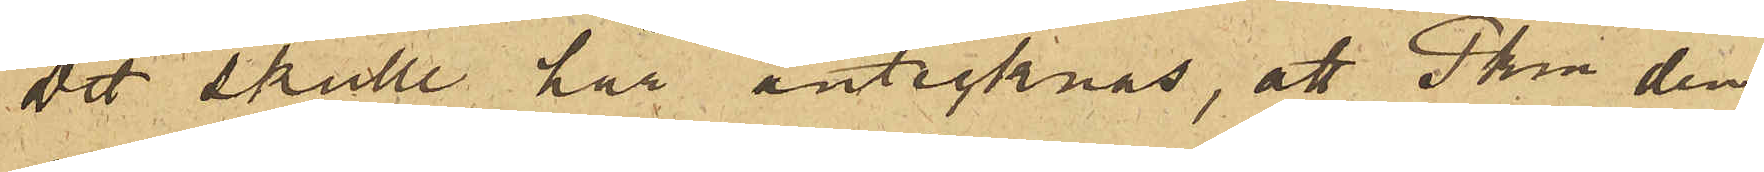Det skulle här antecknas, att Pkn den
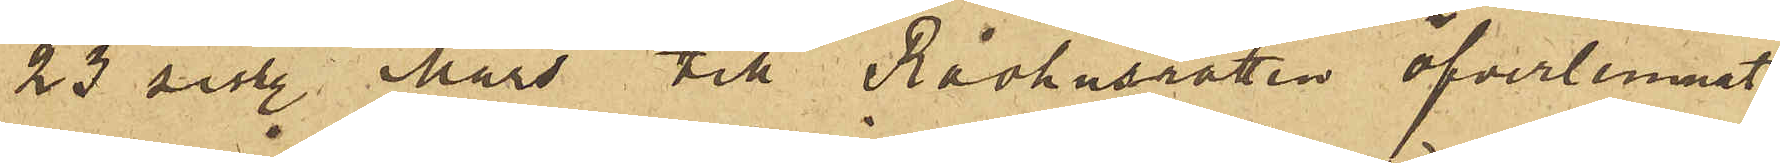23 sist. Mars till Rådhusrätten öfverlemnat
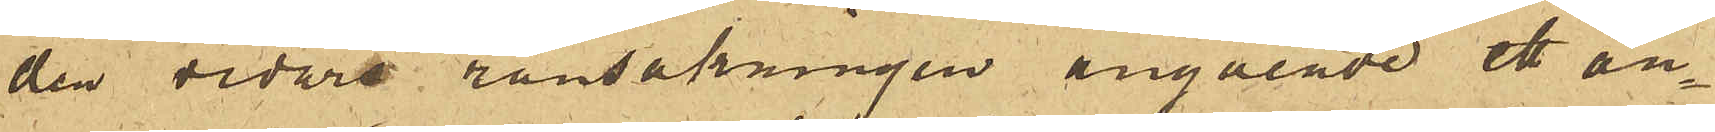den vidare ransakningen angående ett an¬
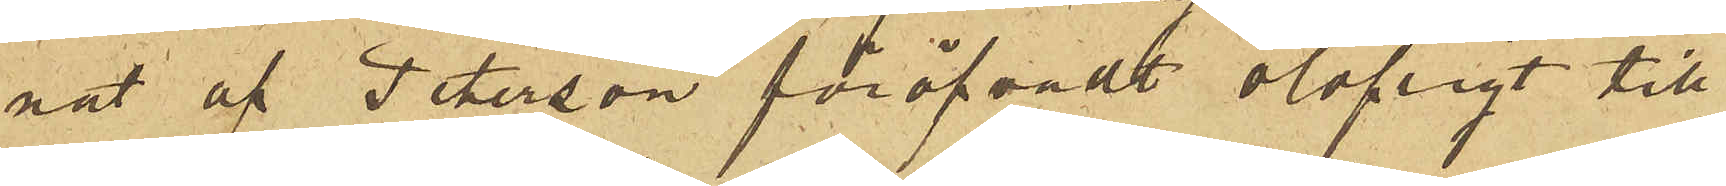nat af Peterson föröfvadt olofligt till¬
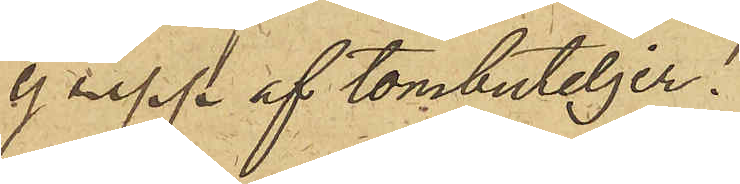grepp af tombuteljer.
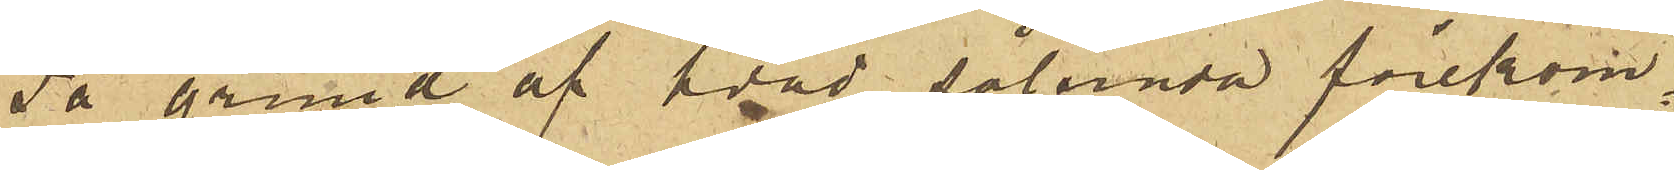På grund af hvad sålunda förekom¬
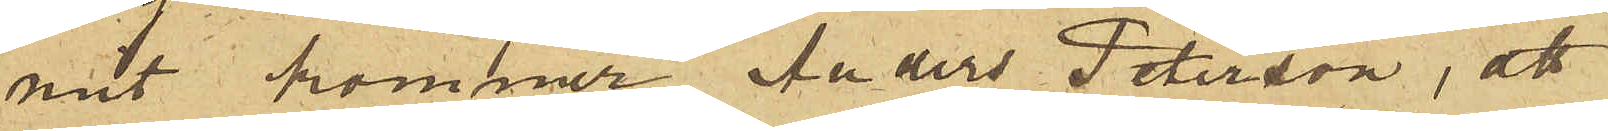mit kommer Anders Peterson, att
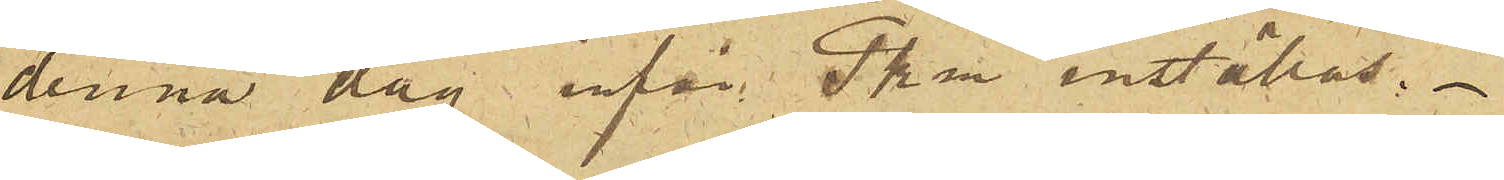denna dag inför Pkn inställas.
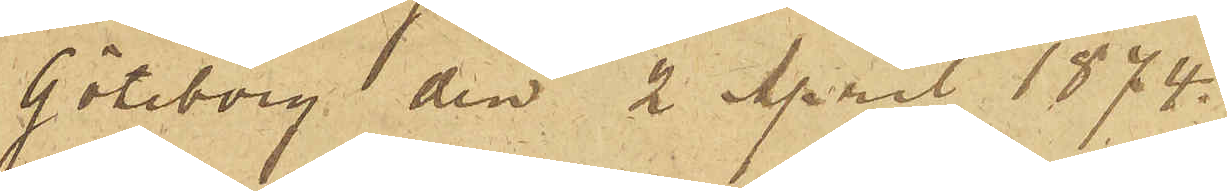Göteborg den 2 April 1874.
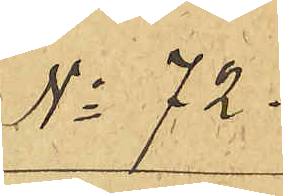No 72.
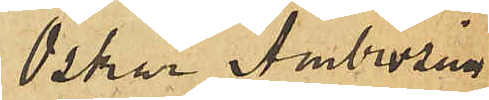Oskar Ambrosius
